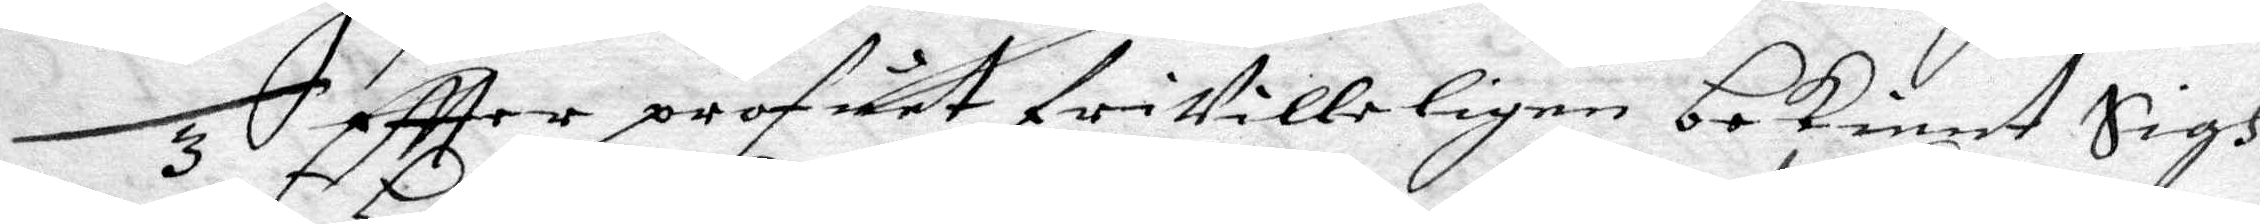3 Eftter profuet friVilleligen bekiendt Sigh
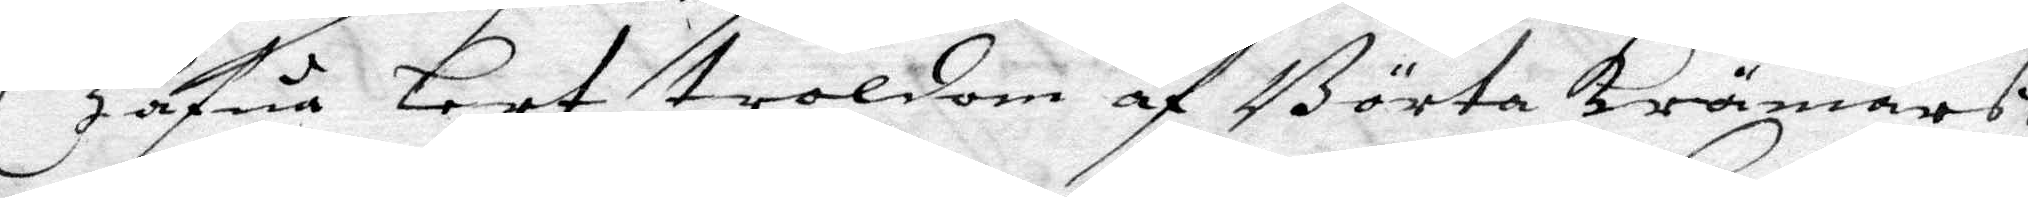Hafua Lert troldom af Börta krämars,
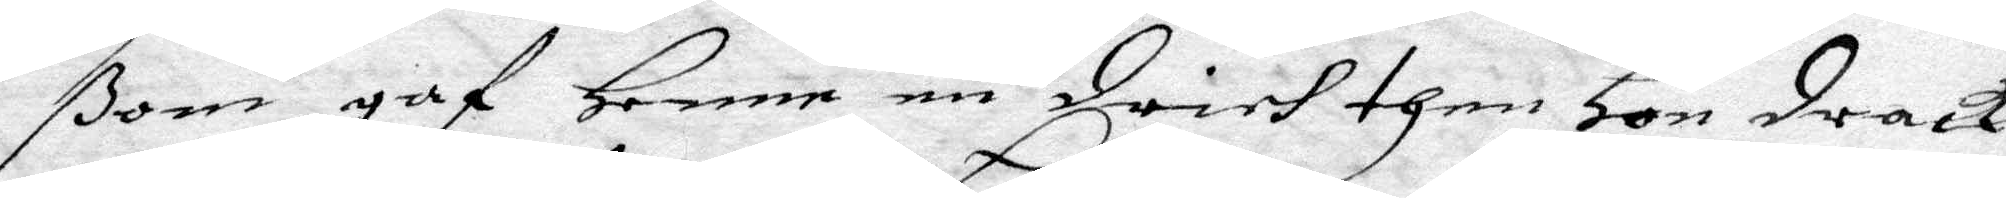ßom gaf Henne en drich then Hon drack
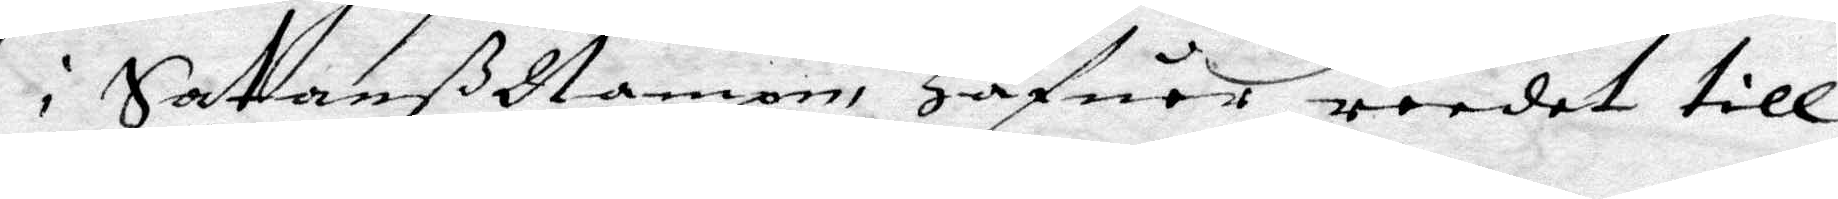i Sathanß Nampn, Hafuer redet till
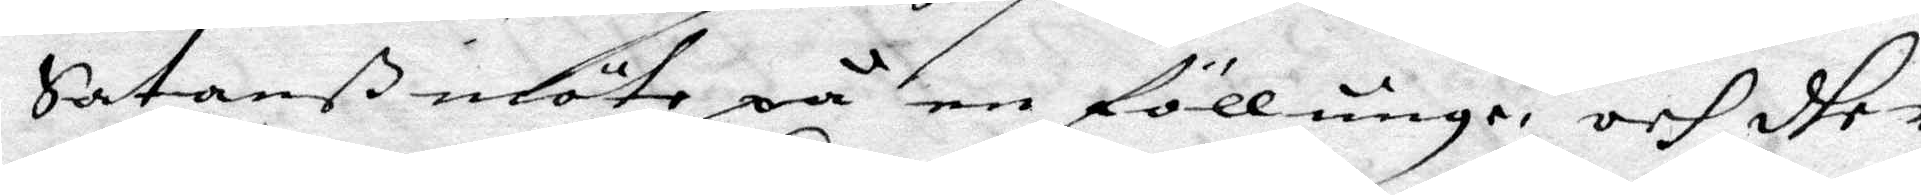Satanß möte på en föllunge, och dher
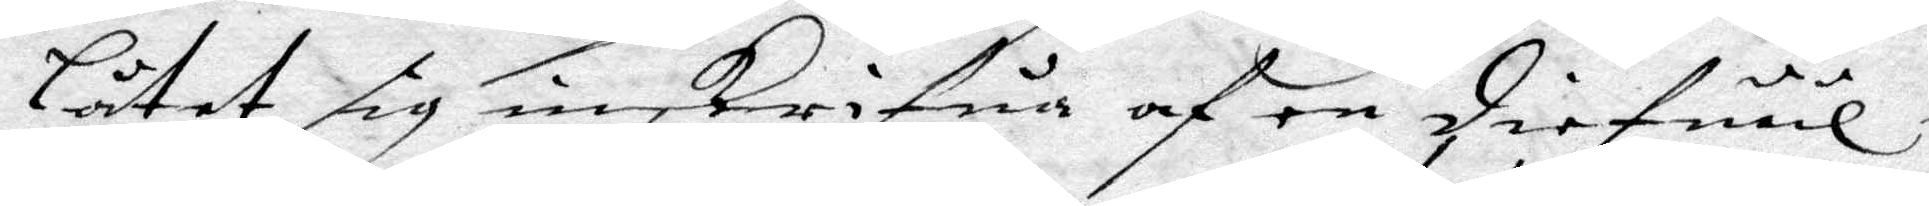Låtet sig inskrifua af en diefuul i
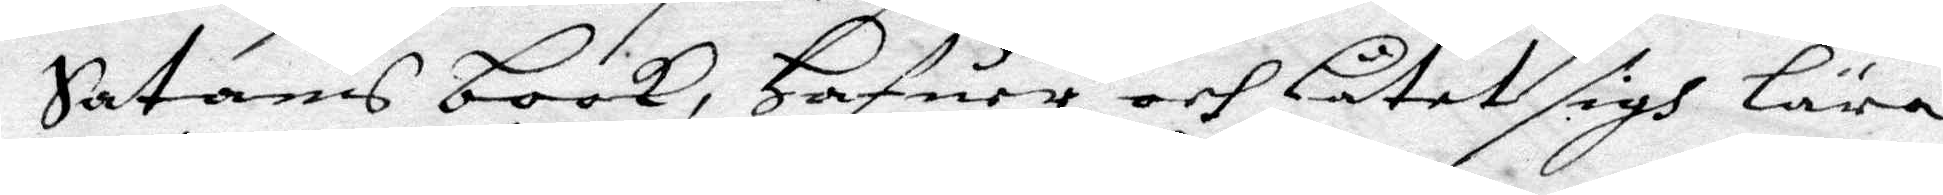Satans book, hafuer och Låtet sigh Lära
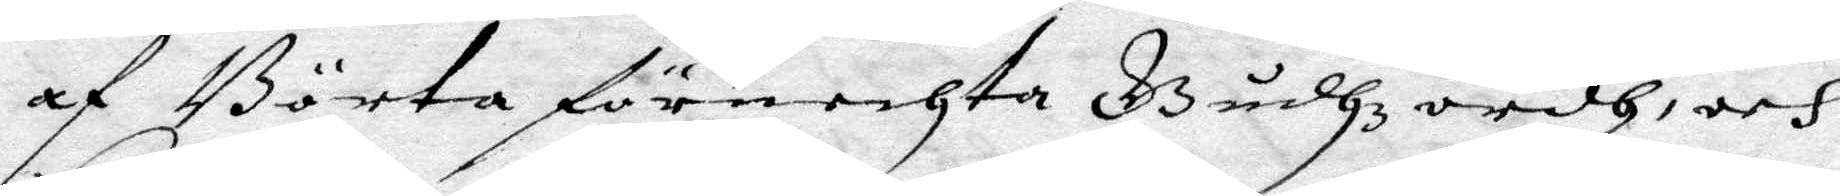af Börta förnechta Gudhz ordh och
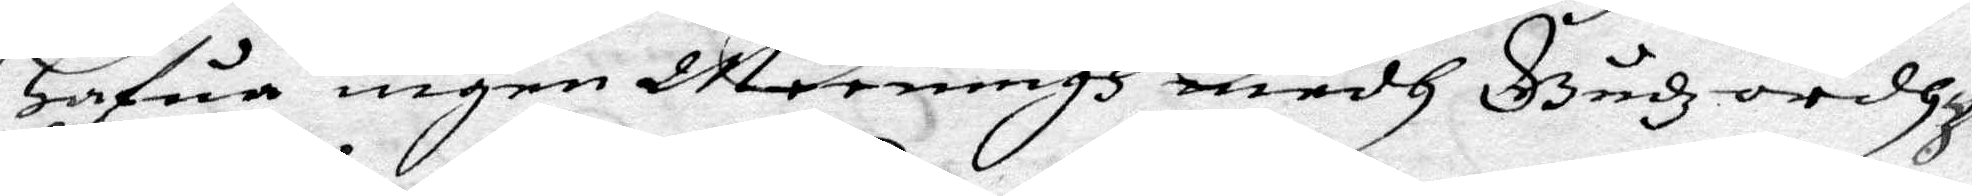Hafua ingen Meeningh medh Gudz ordhz
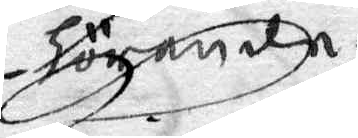hörande.
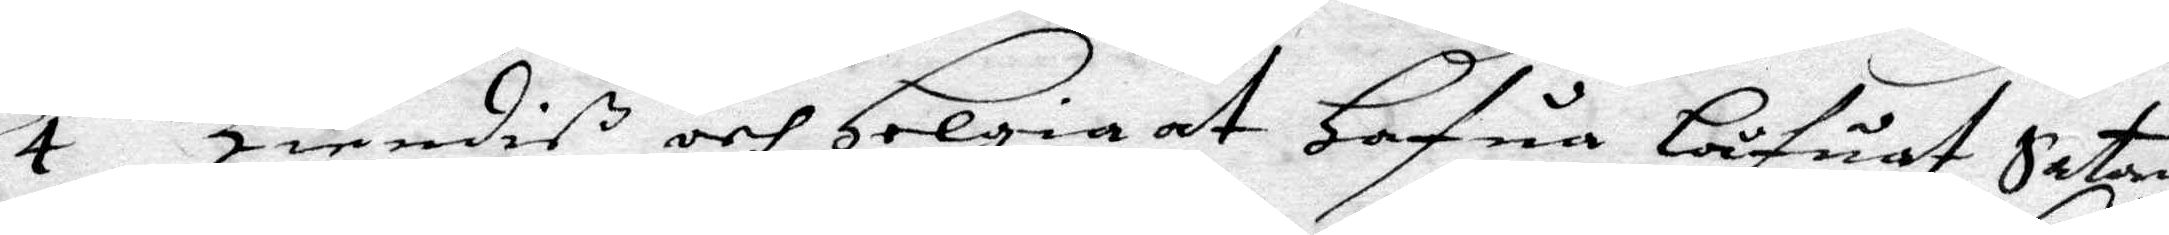4 Kiendiß och Helgia at Hafua Låfuat Satan
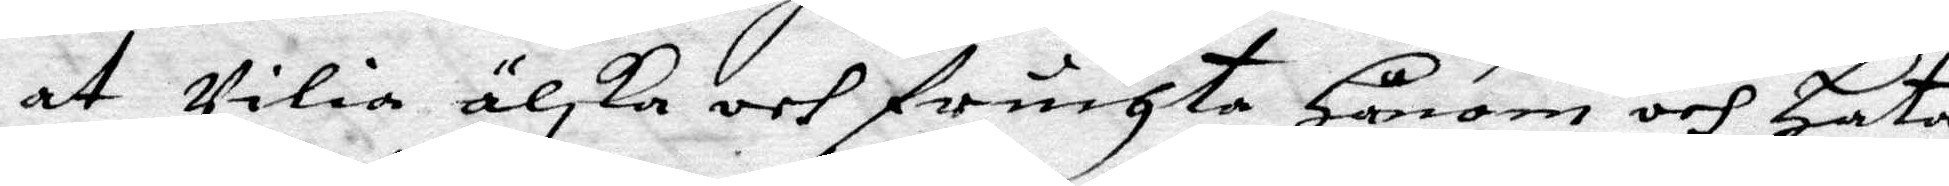at Vilia älska och frichta Honom och hata
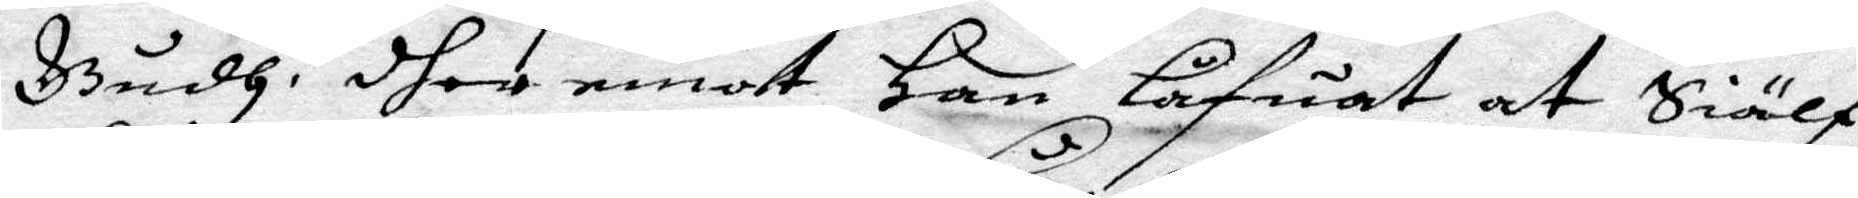Gudh. dher emot Han Låfuat at Siälf
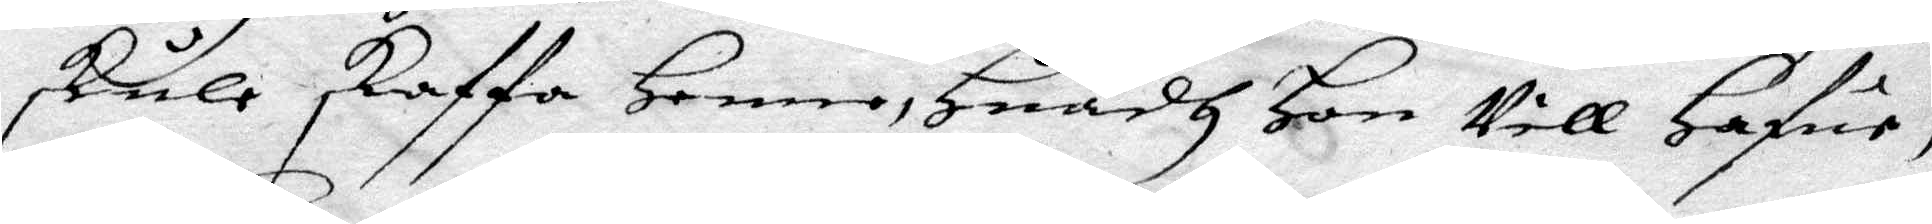skule skaffa Henne, huadh Hon Vill Hafua,
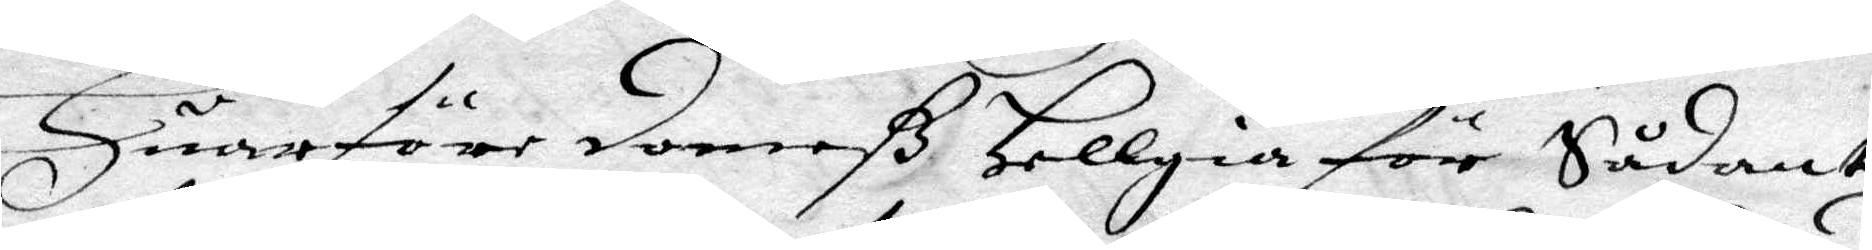Huarföre domeß Hellgia för Sådant
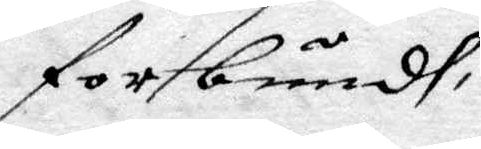forbundh
